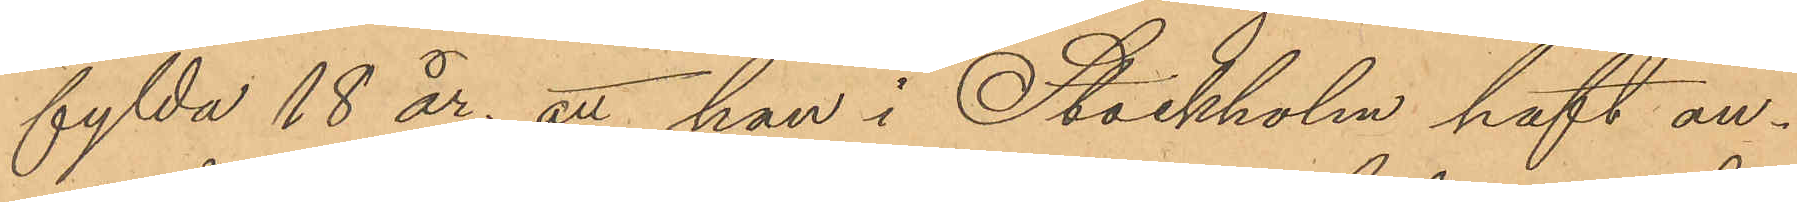fylda 18 år; att han i Stockholm haft an¬
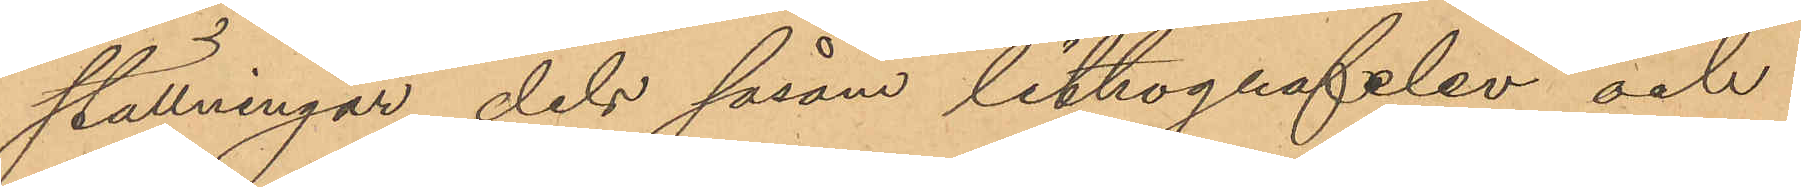ställningar dels såsom lithografelev och
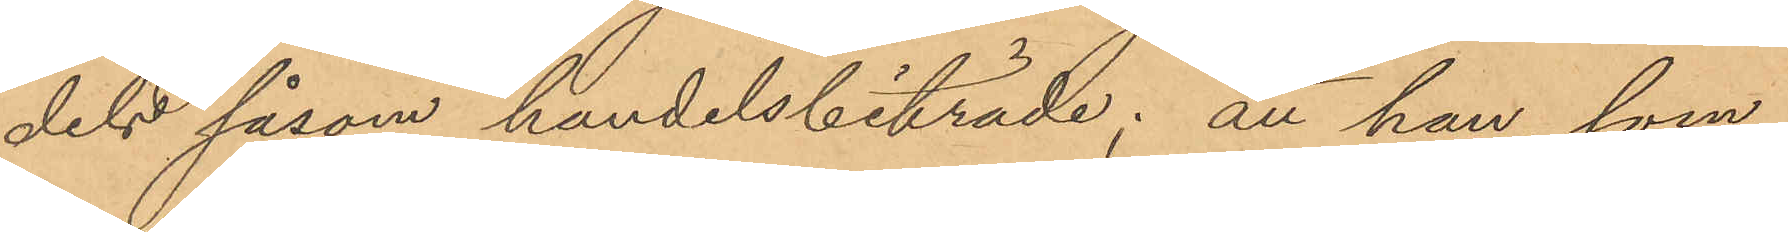dels såsom handelsbiträde; att han, som
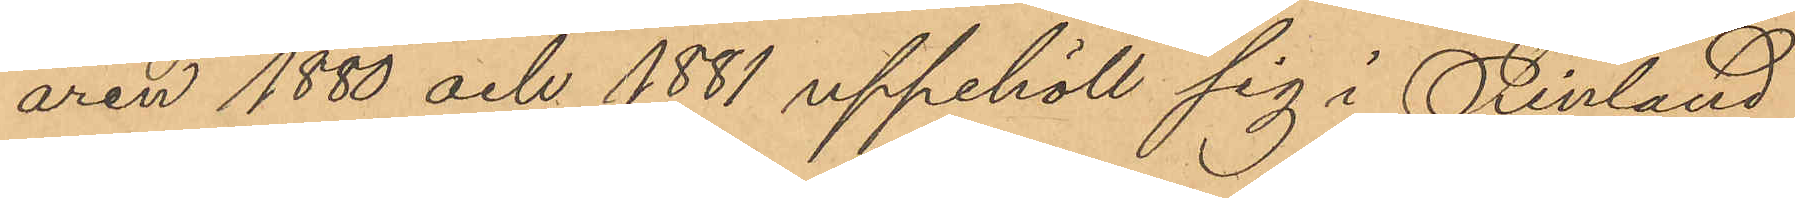åren 1880 och 1881 uppehöll sig i Finland
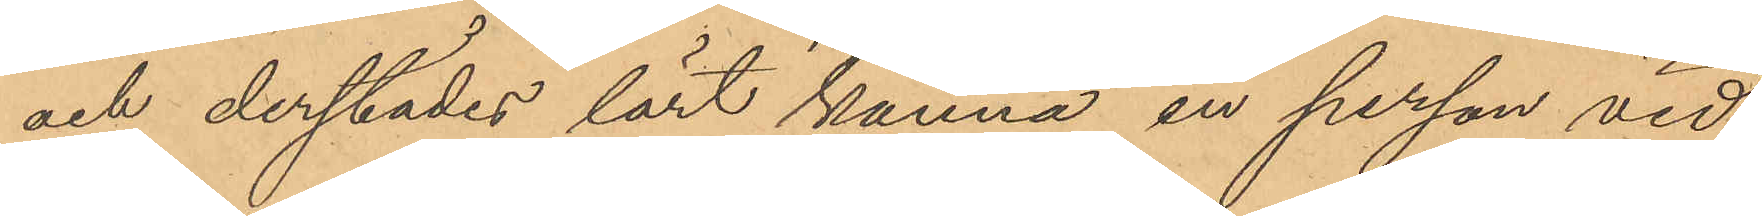och derstädes lärt känna en person vid
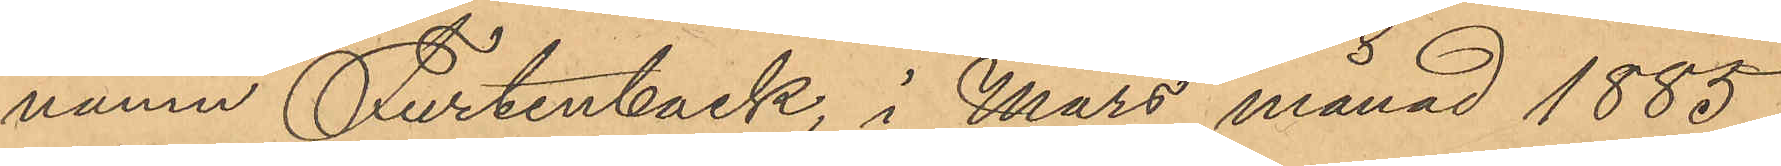namn Furtenback, i Mars månad 1885,
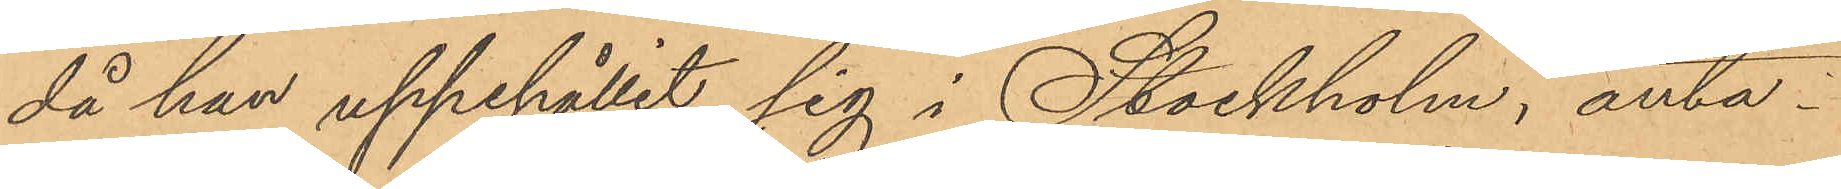då han uppehållit sig i Stockholm, anta¬
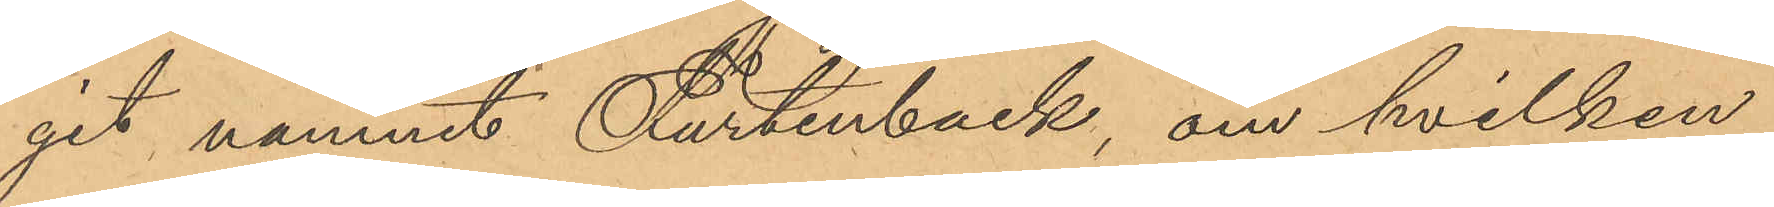git namnet Furtenback, om hvilken
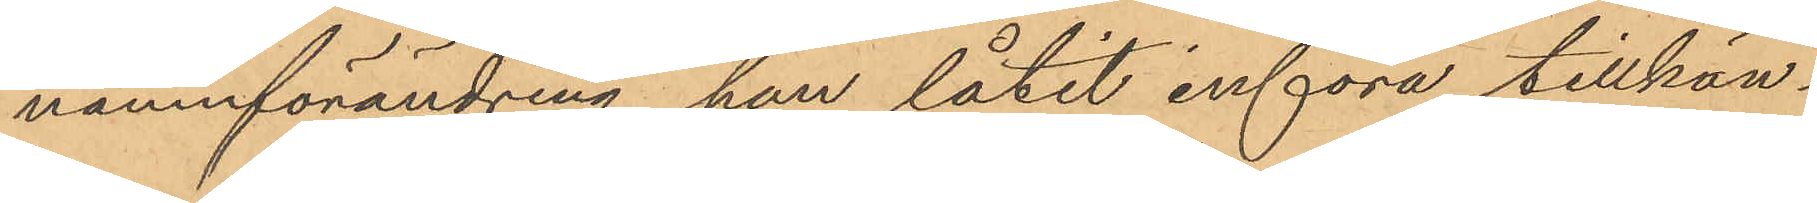namnförändring han låtit införa tillkän¬
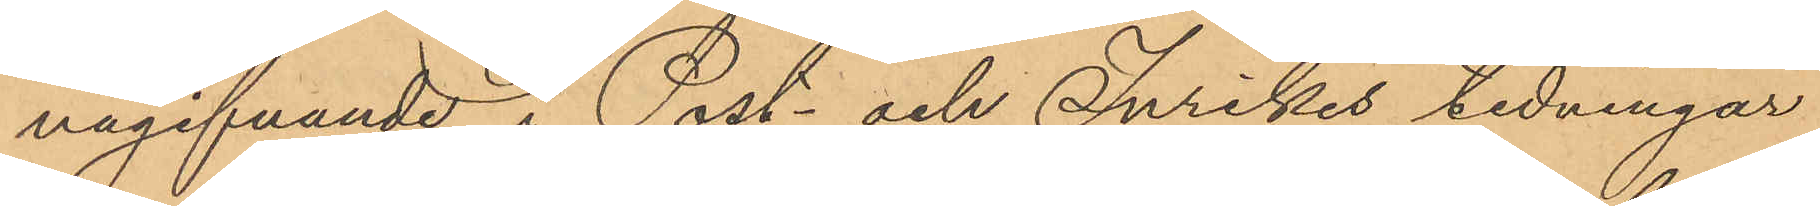nagifvande i Post- och Inrikes tidningar
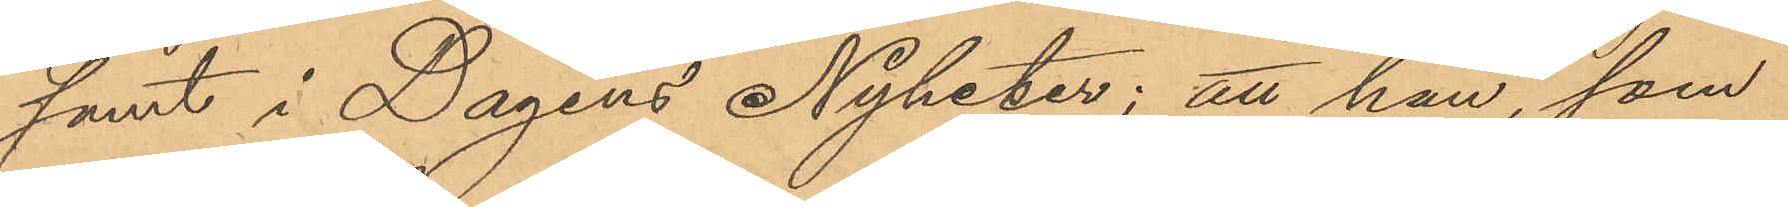samt i Dagens Nyheter; att han, som
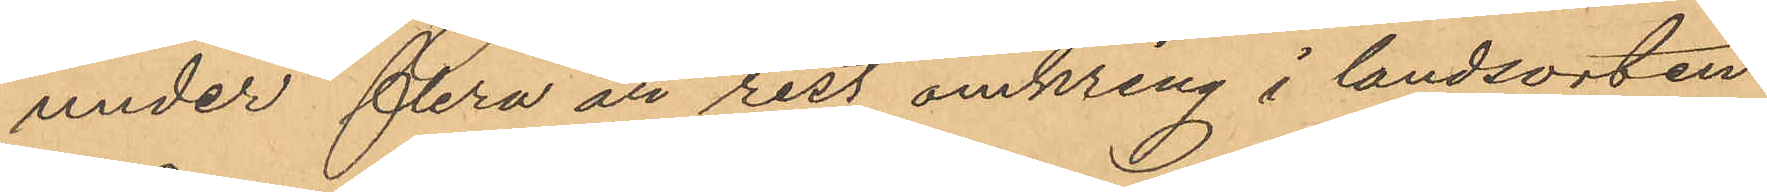under flera år rest omkring i landsorten
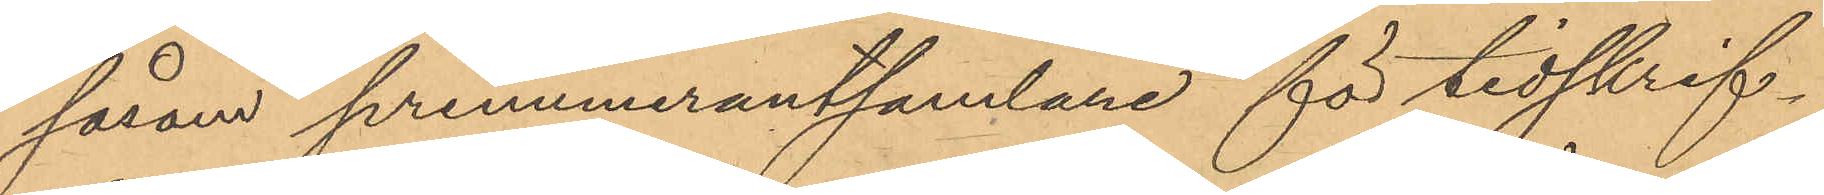såson prenumerantsamlane för tidskrif¬
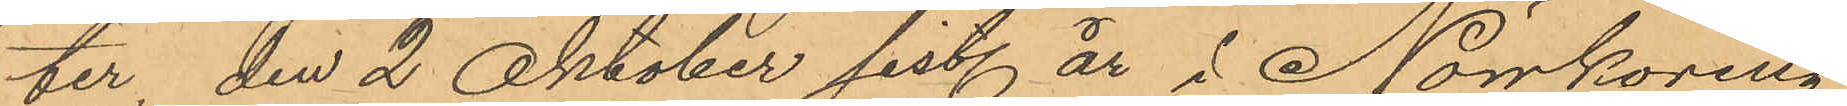ter den 2 Oktober sist. år i Norrköping
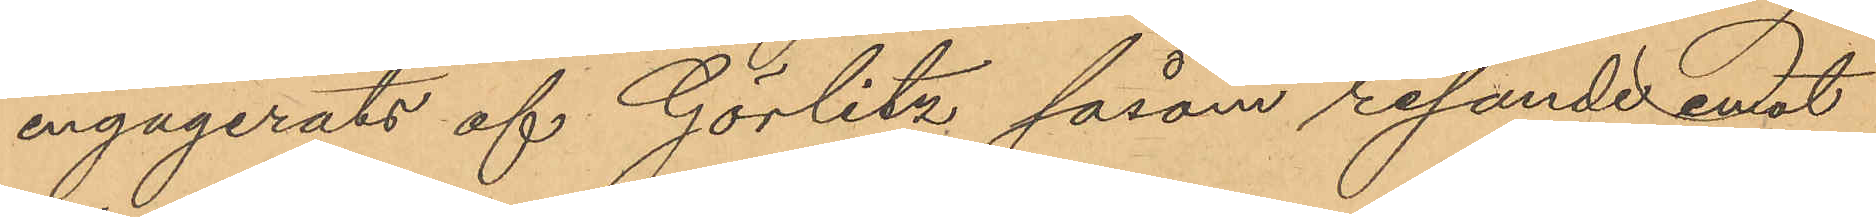engagerats af Görlitz såsom resande emot
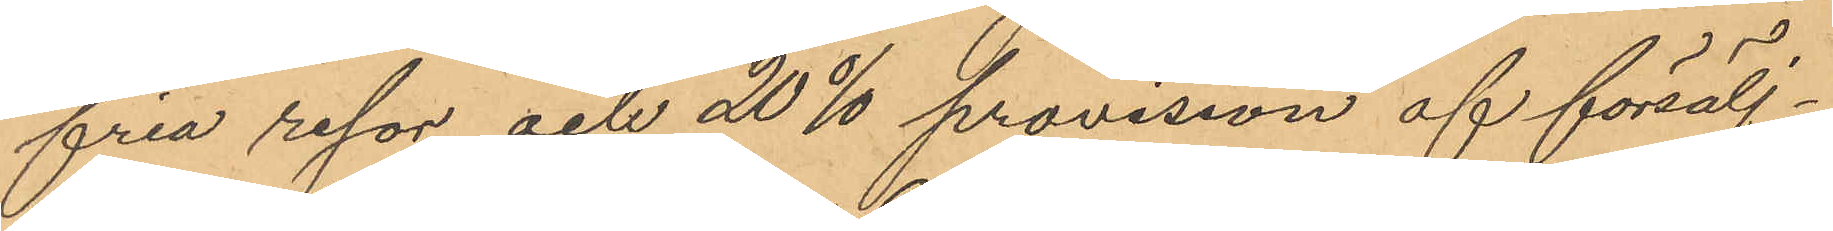fria resor och 20 % provision af försälj¬
